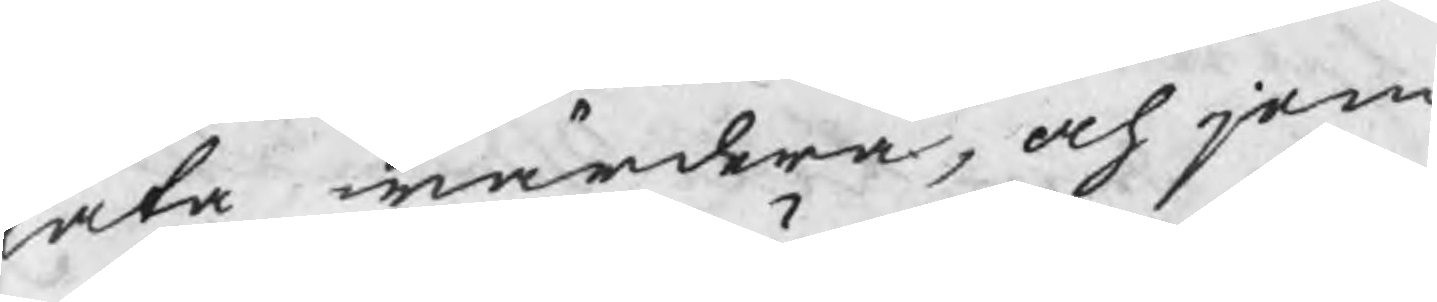låta wärdera, och jem
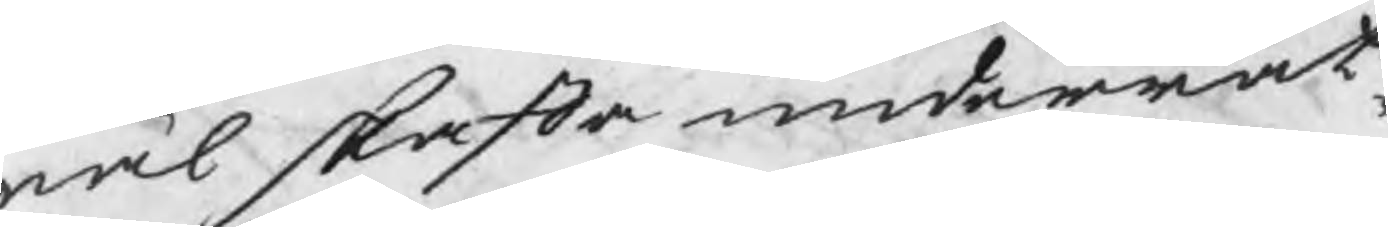wäl skafta underrät¬
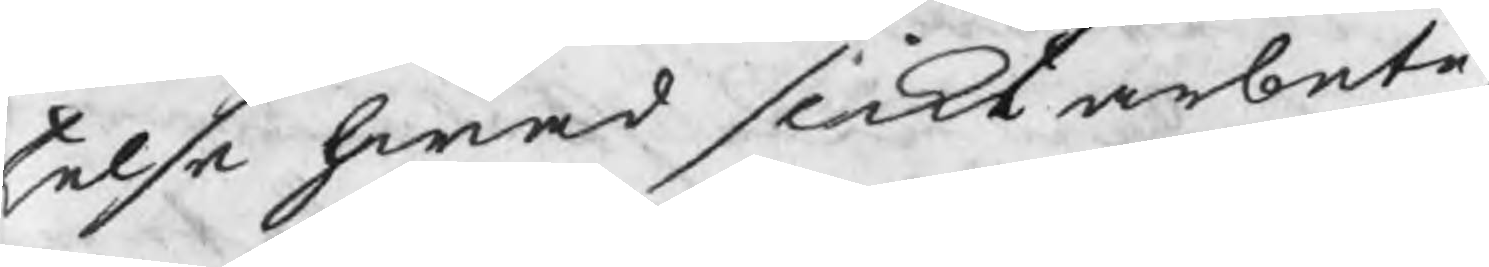telse hwad slikt arbete,
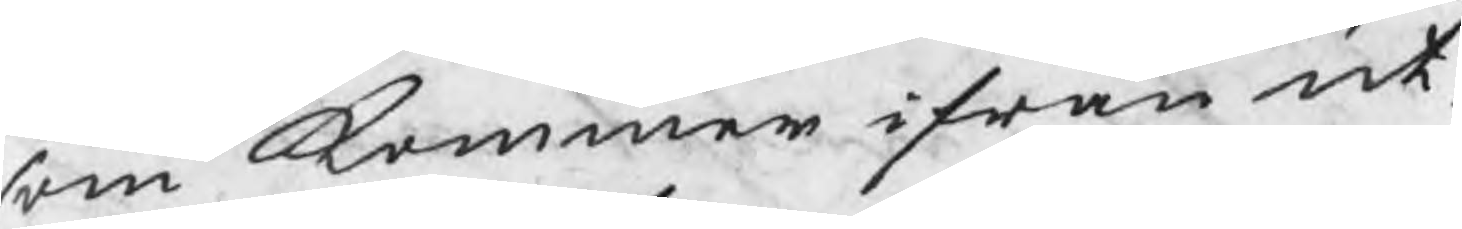som kommer ifrån ut¬
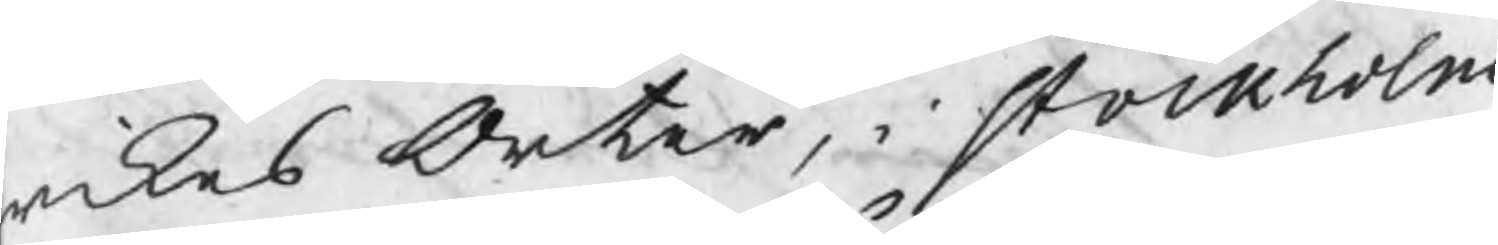rikes Orter, i stockholm
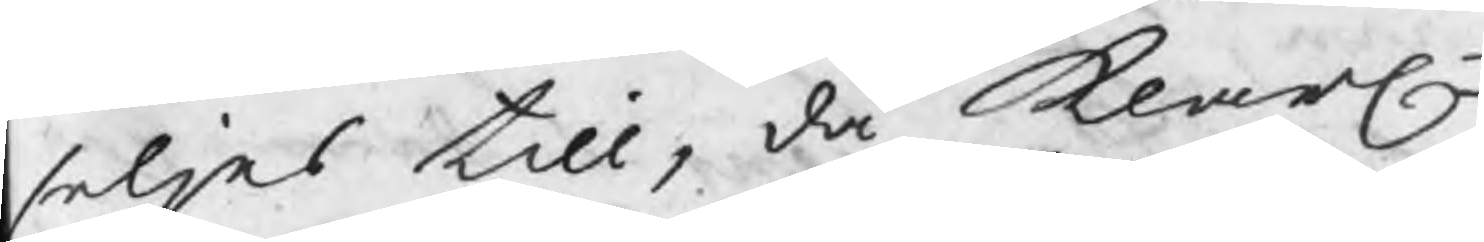seljas till, då klarln
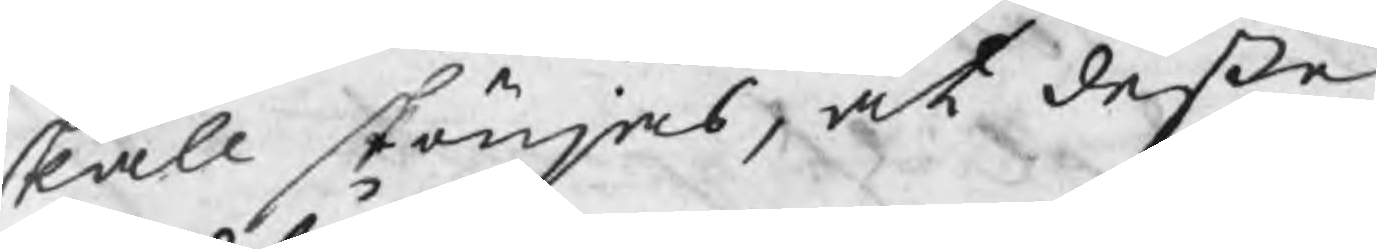skall skönjas, at deße
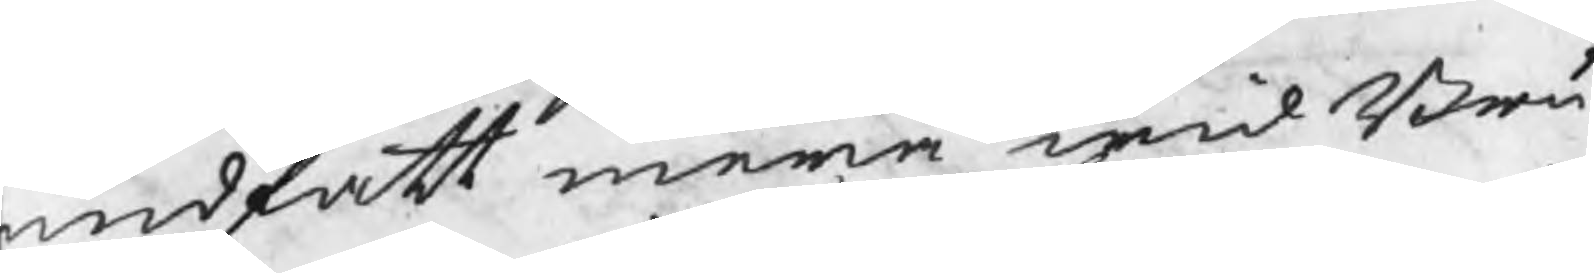undfått mera wid Bru¬
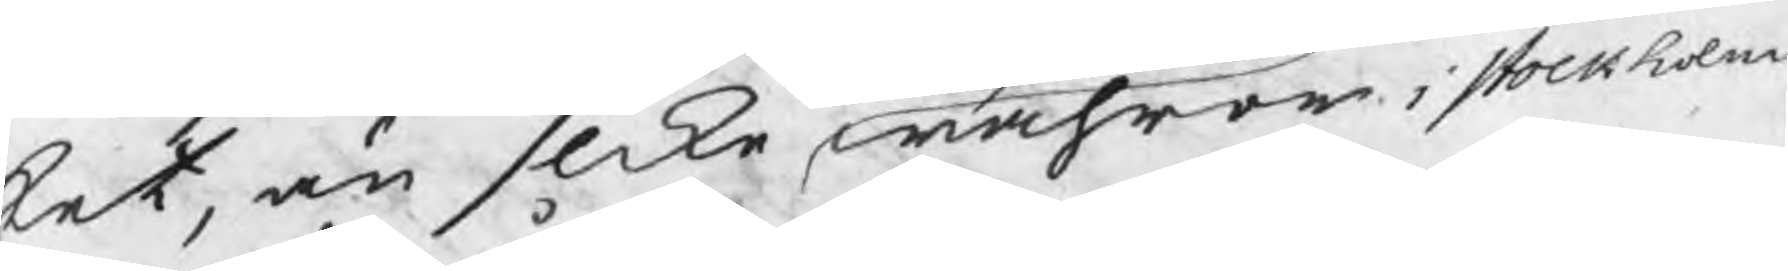ket, än slike wahror i stockholm
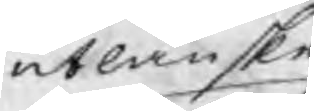utlänske
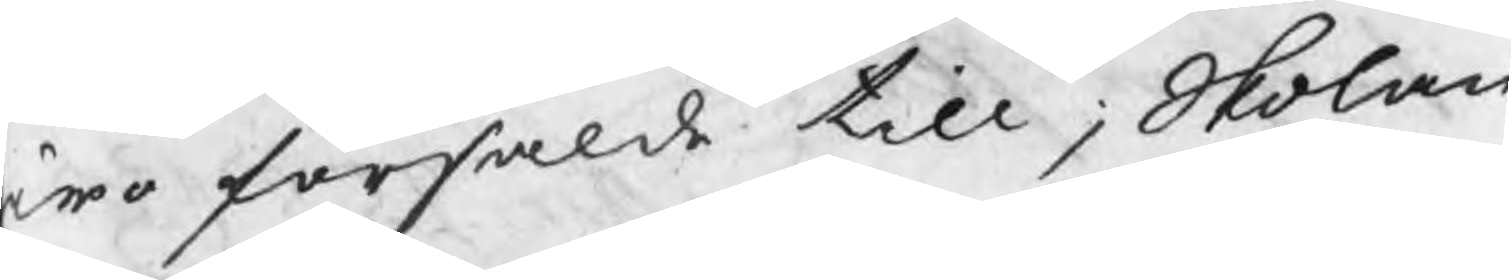ro försålde till; Skolan¬
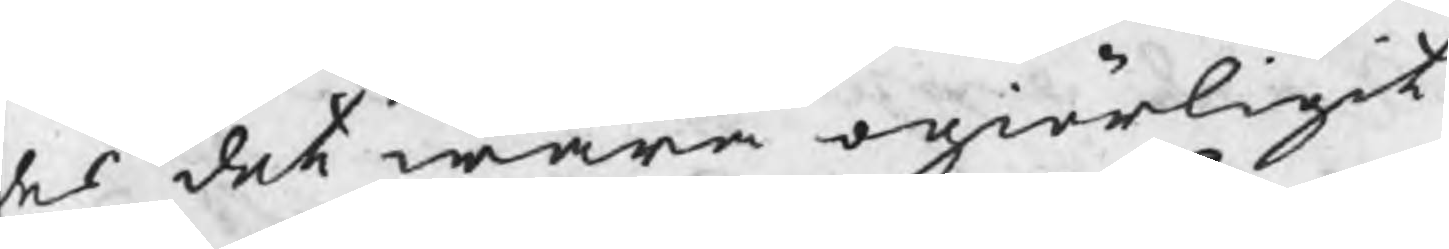es ehr at ställa dem
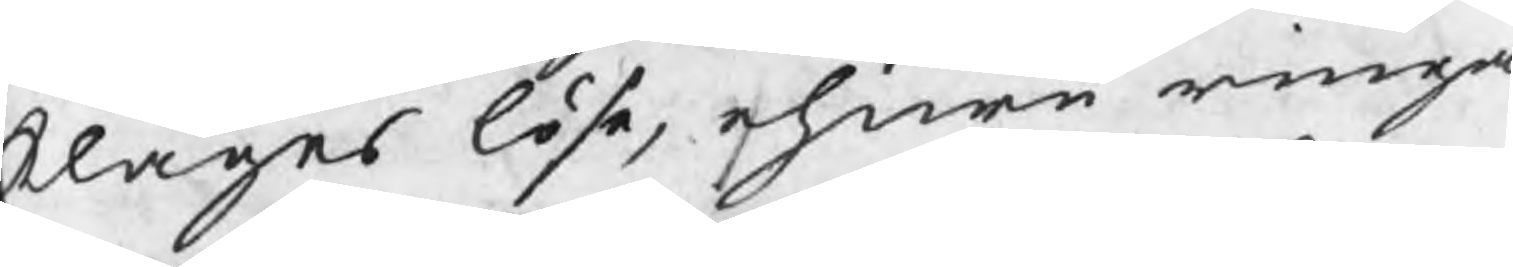klages löse, ehuru ringa
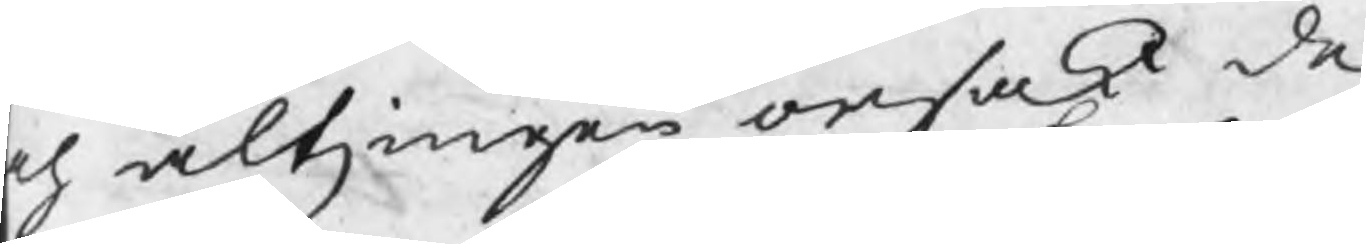ch altz ingen orsak de
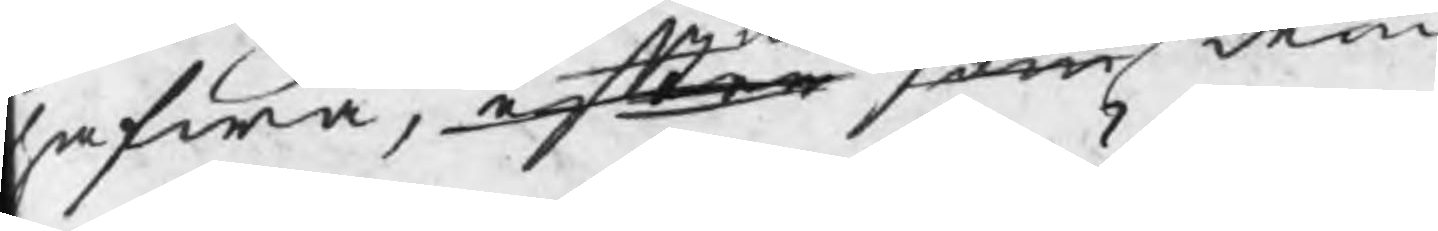hafwa, efter som dem
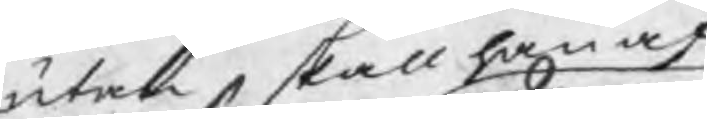utan skall han af
